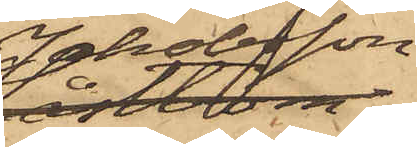Jakobsson,
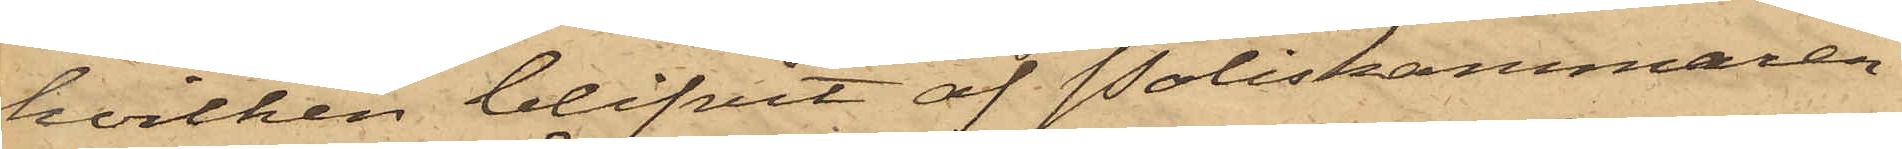hvilken blifvit af Poliskammaren
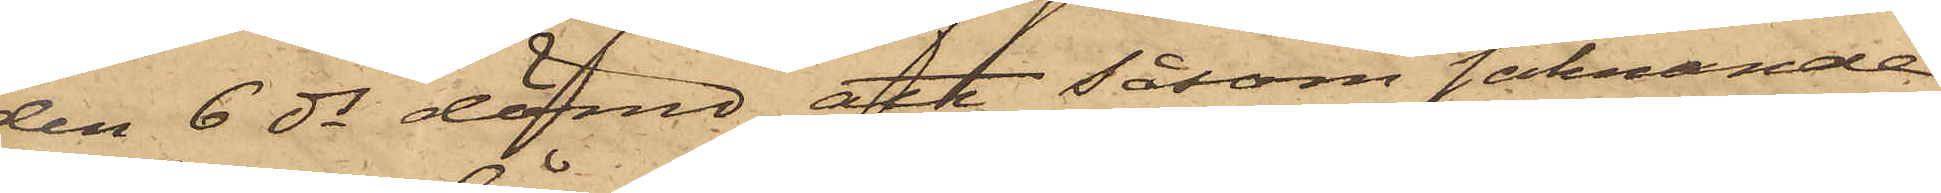den 6 ds dömd att såsom saknande
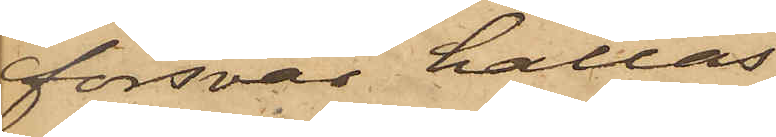försvar hållas
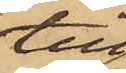till
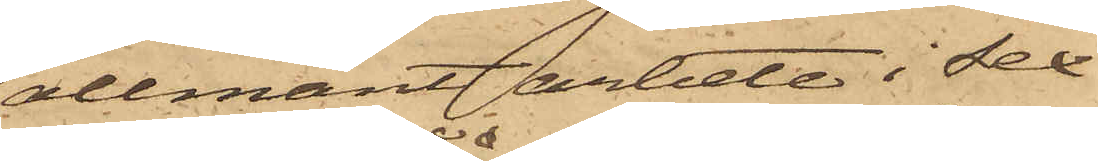allmänt arbete i Sex
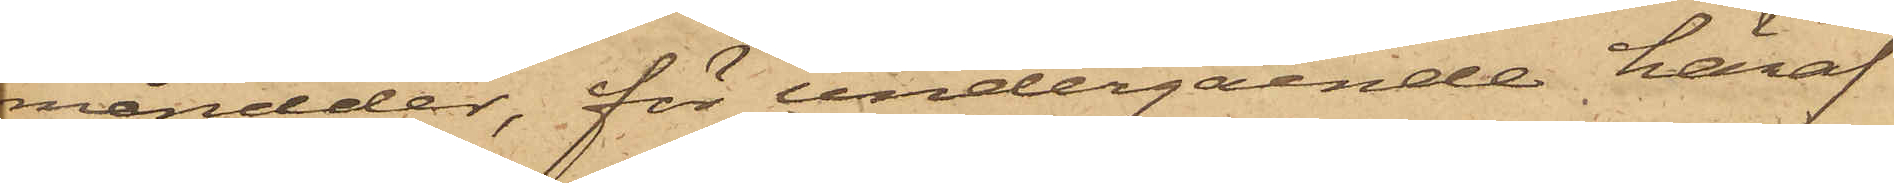månader, för undergående häraf
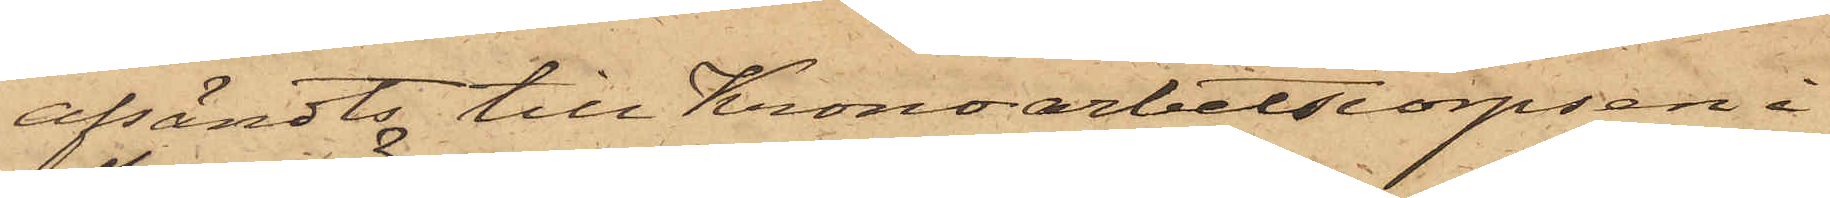afsändts till Kronoarbetscorpsen i
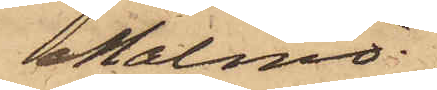Malmö.
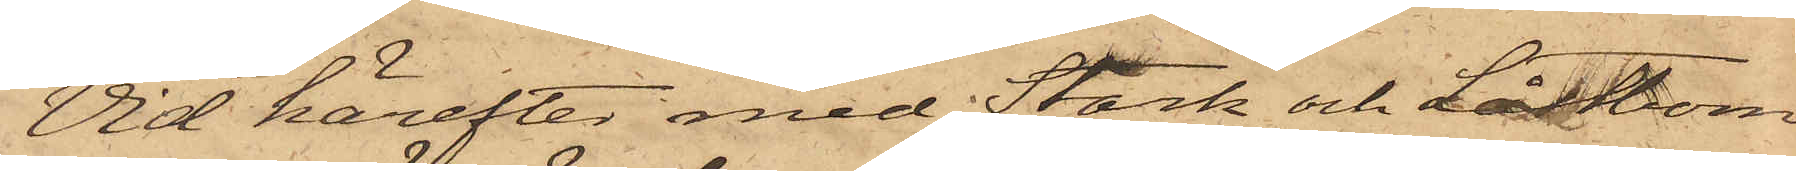Vid härefter med Stark och Låstbom
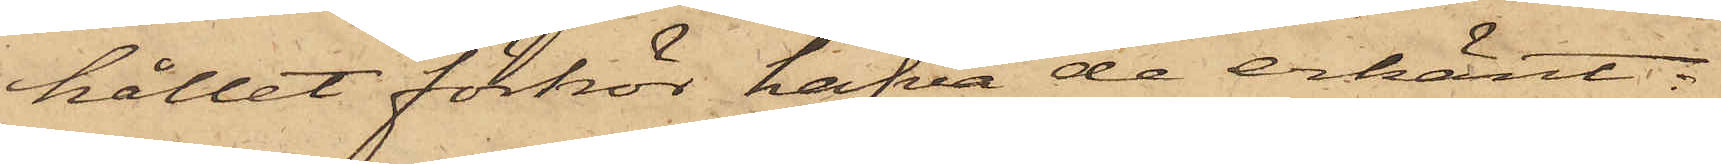hållit förhör hafva de erkänt:
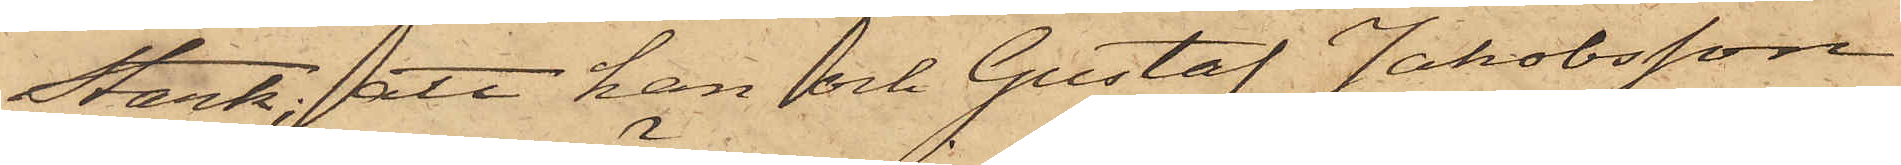Stark; att han och Gustaf Jakobsson
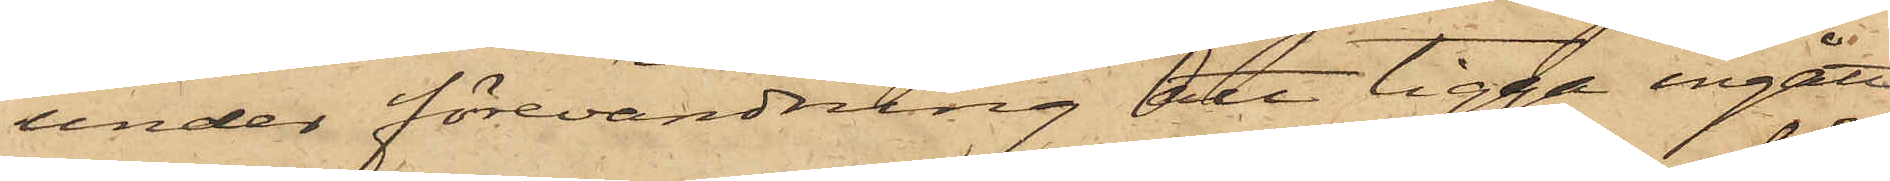under förevändning att tigga ingått
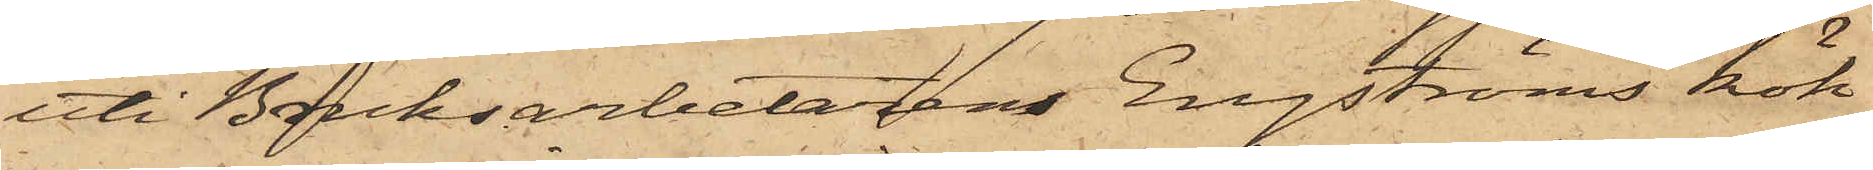uti Bruksarbetaren Engströms kök
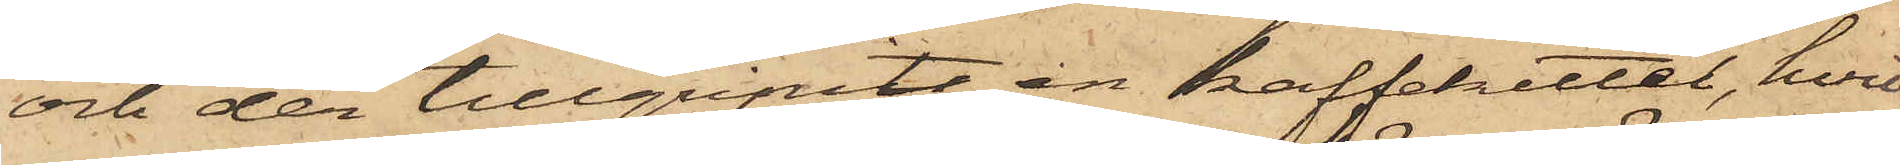och der tillgripits en kaffekittel, hvil¬
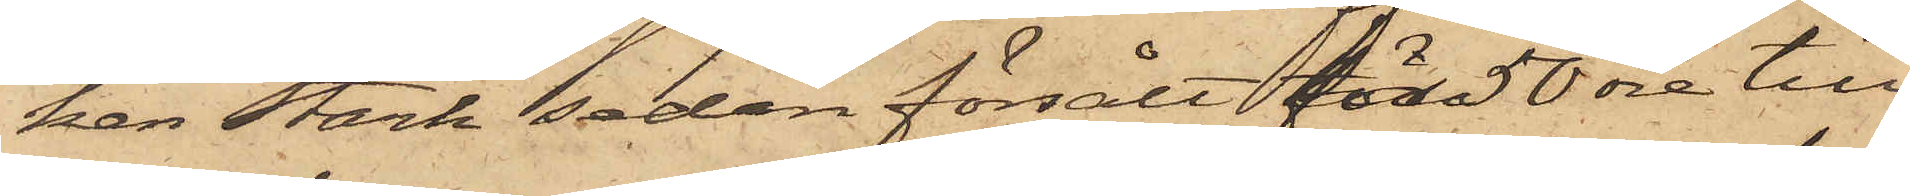ken Stark sedan försålt för 50 öre till
